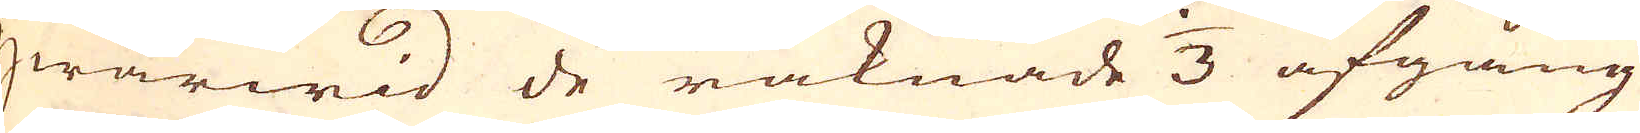qwarwid de räknade 1/3 afgång
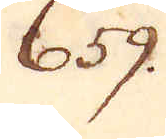659.
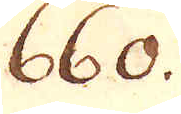660.
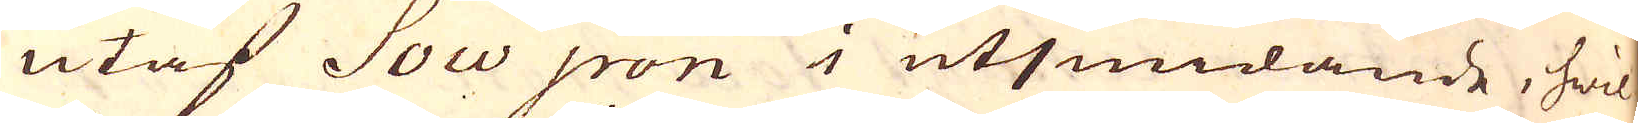utaf Sow iron i utsmidande, hwil-
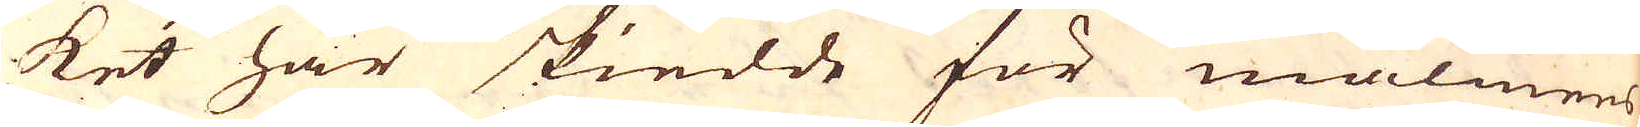ket här skiedde för malmens
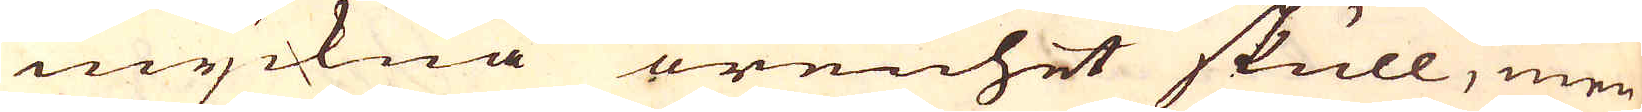myckna orenhet skull, men
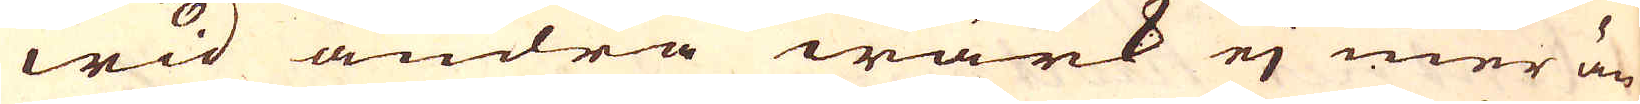wid andra wärk ej mer än
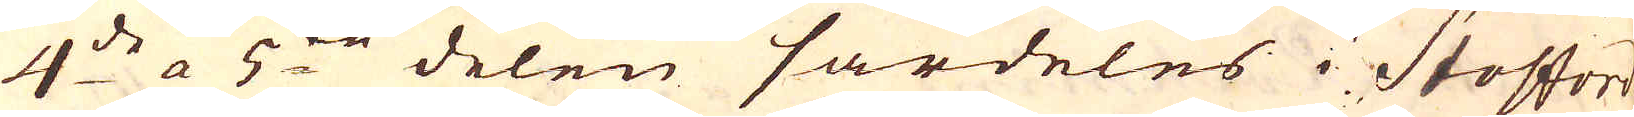4:de a 5:te delen särdeles i Stofford-
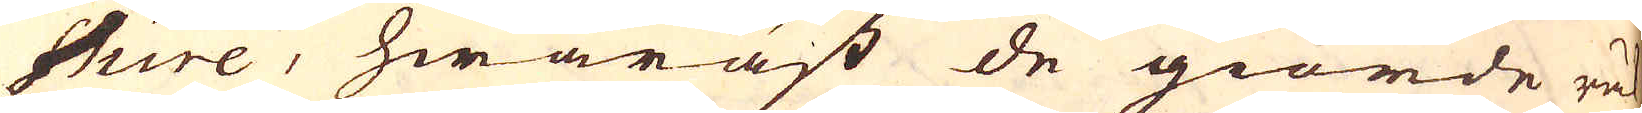shire, hwaräst de giorde räk-
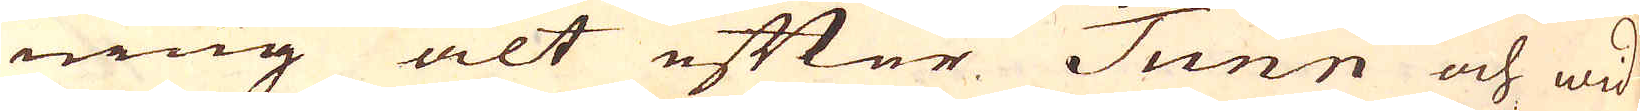ning alt efter Tunn och wid
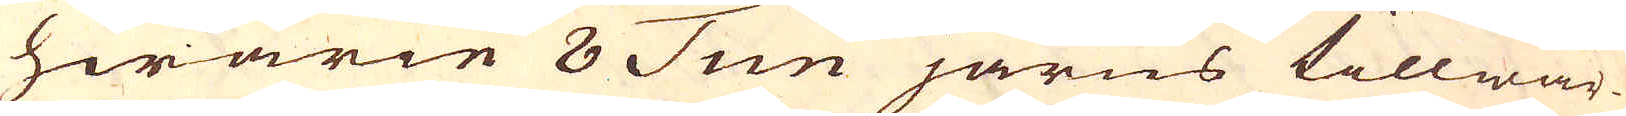hwarie 8 Tun järns tillwär-
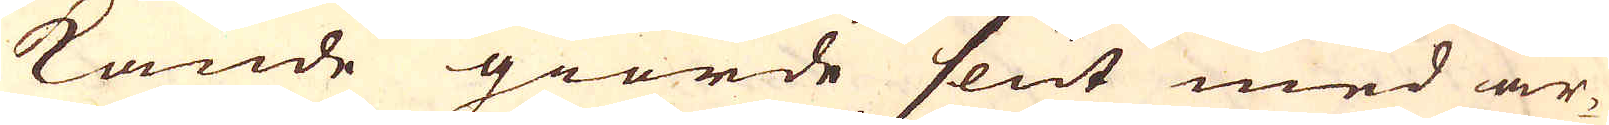kande giorde slut med ar-
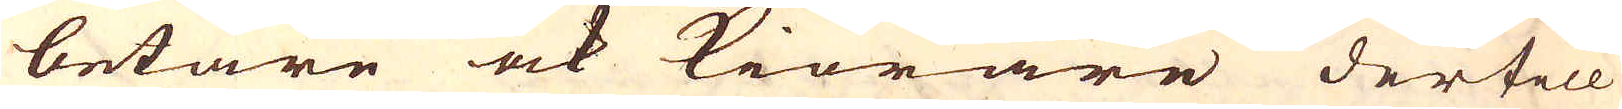betare ock kiörare dertill
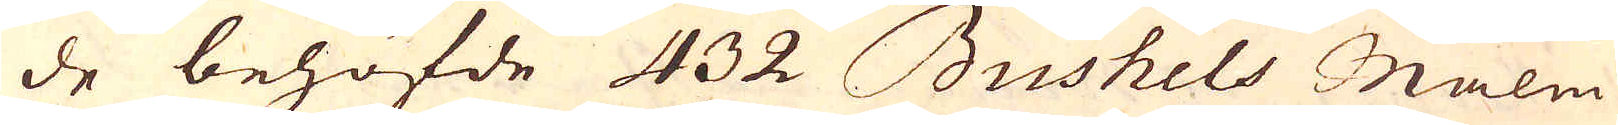de behöfde 432 Bushels Malm
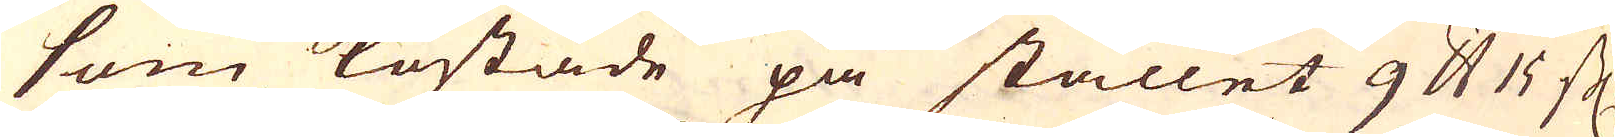som kostade på stället 9 pund 15 schl.
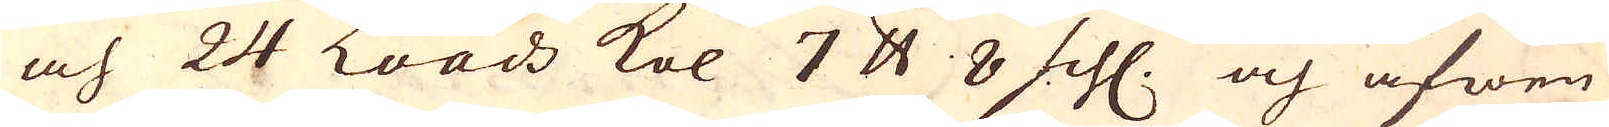och 24 Loads kol 7 pund 8 schl. och äfwen
